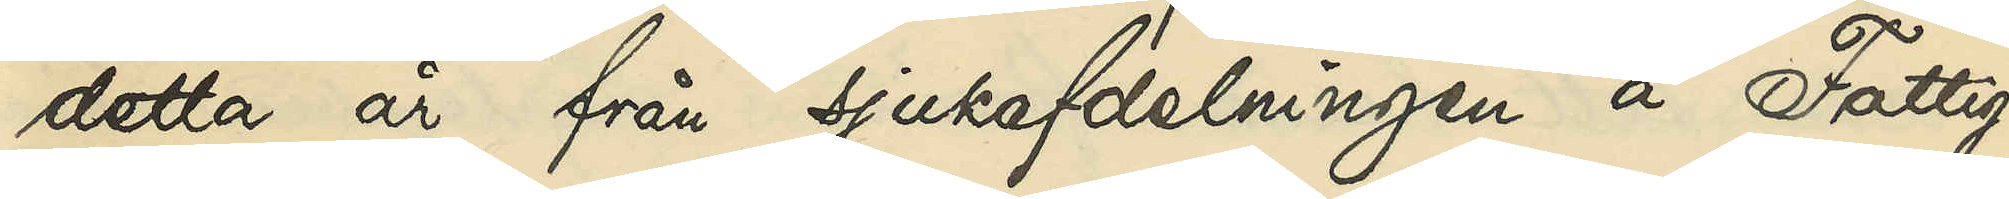detta år från sjukafdelningen å Fattig¬
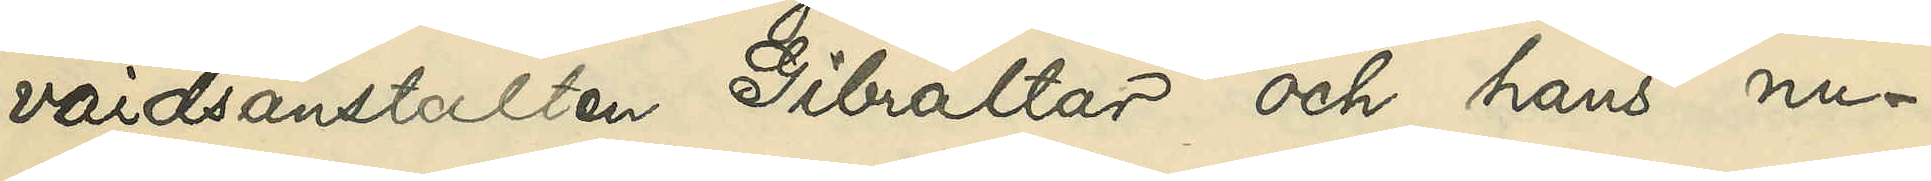vårdsanstalten Gibraltar och hans nu¬
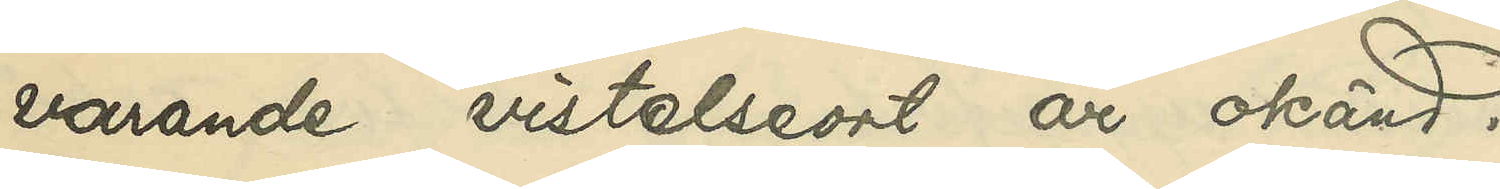varande vistelseort är okänd.
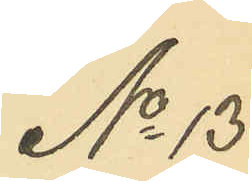No 13
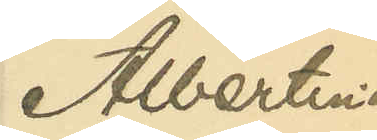Albertina
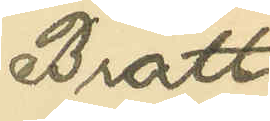Bratt
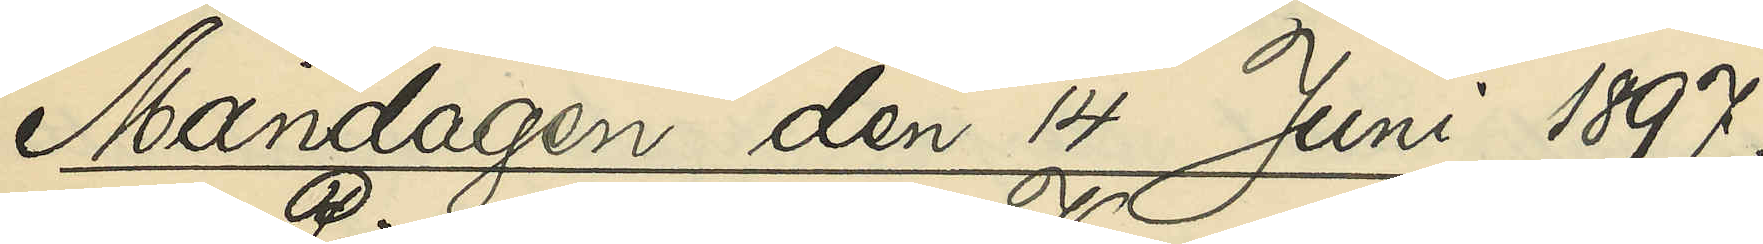Måndagen den 14 Juni 1897.
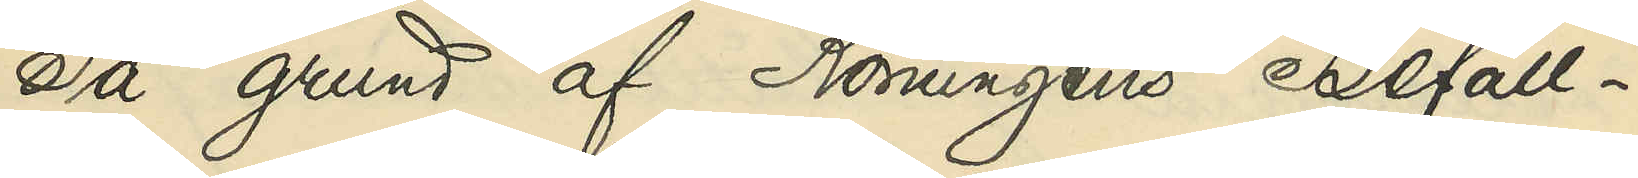På grund af Konungens Befall¬
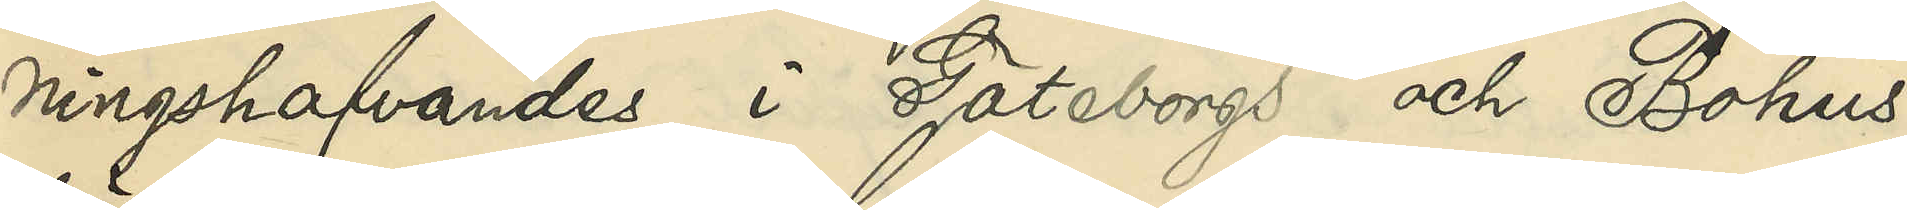ningshafvandes i Göteborgs och Bohus
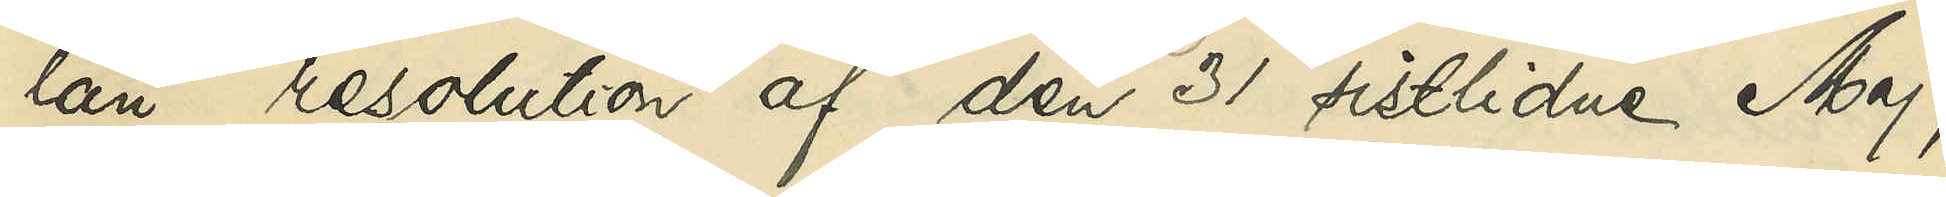län resolution af den 31 sistlidne Maj,
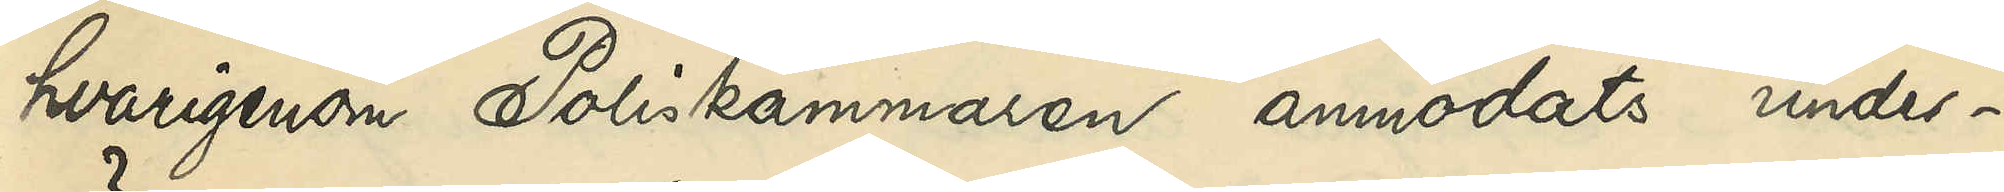hvarigenom Poliskammaren anmodats under¬
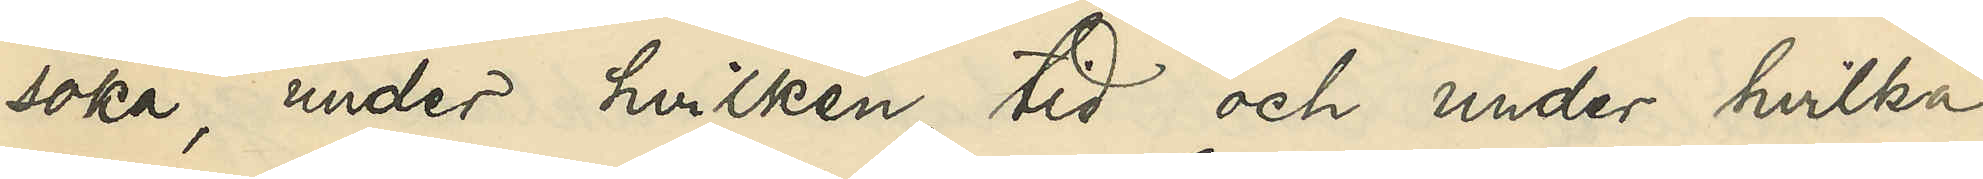söka, under hvilken tid och under hvilka
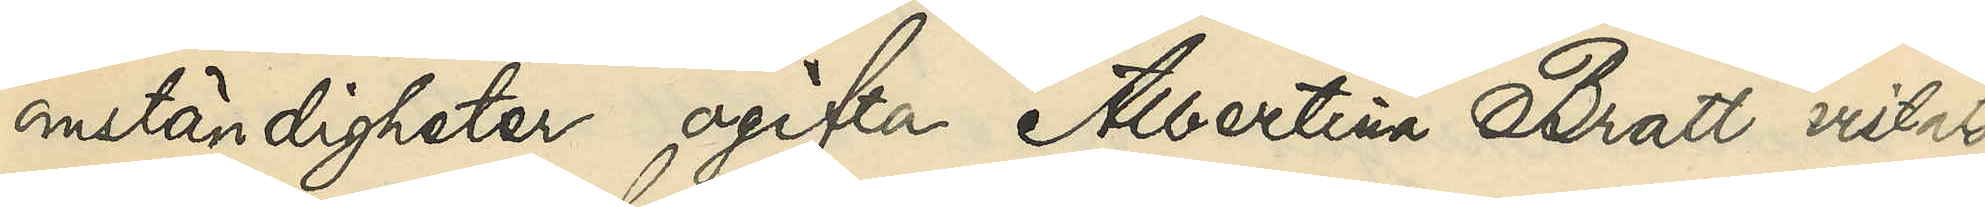omständigheter ogifta Albertina Bratt vistats
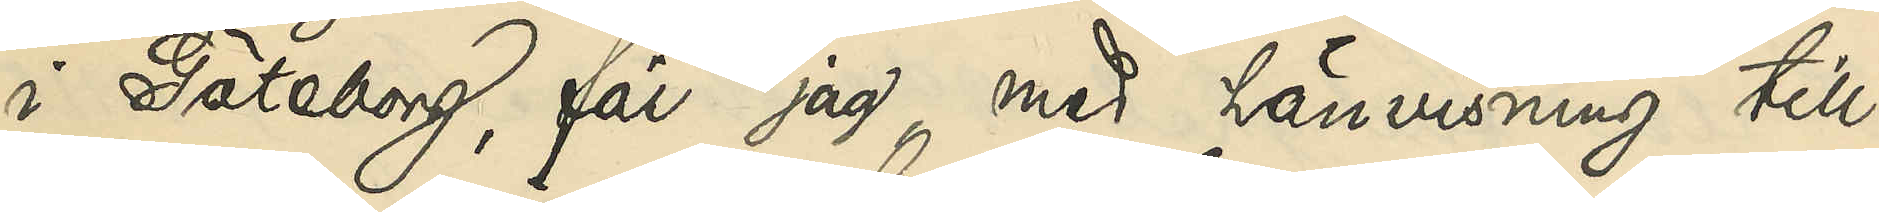i Göteborg, får jag, med hänvisning till
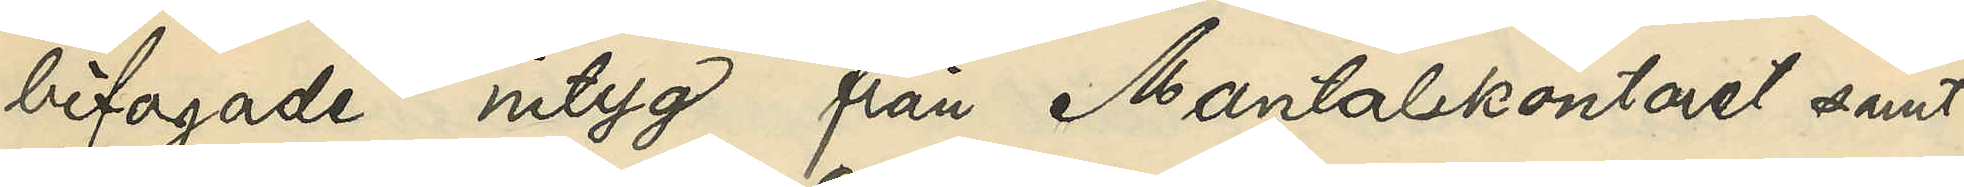bifogade intyg från Mantalskontoret samt
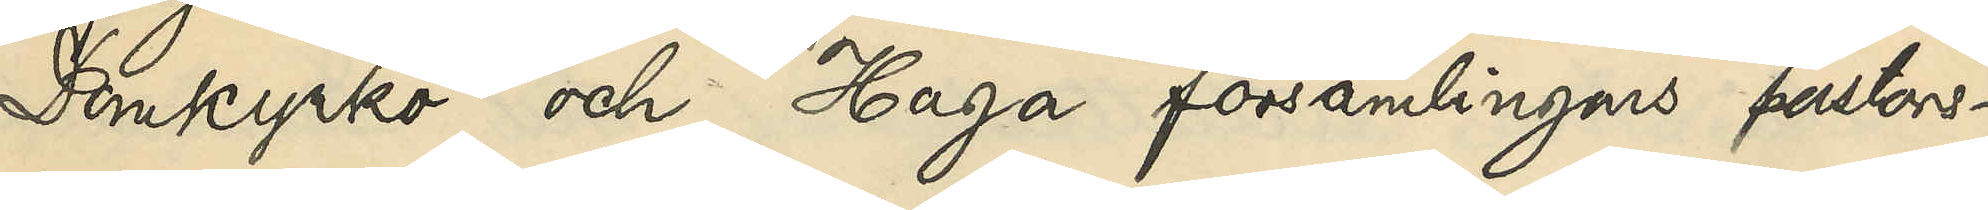Domkyrko och Haga församlingars pastors¬
